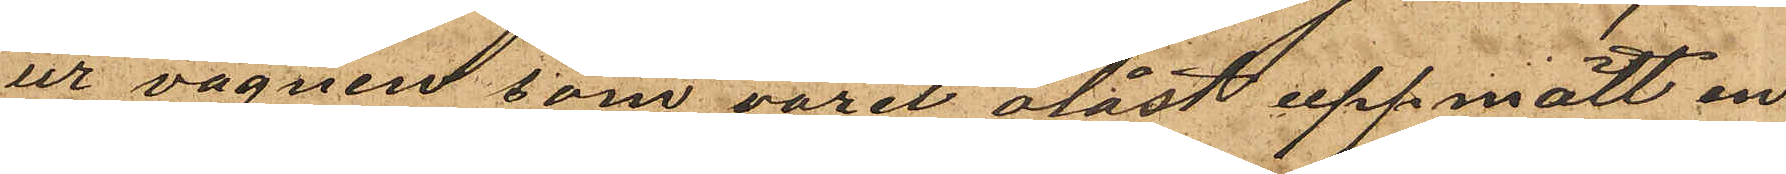ur vagnen som varit olåst uppmätt en
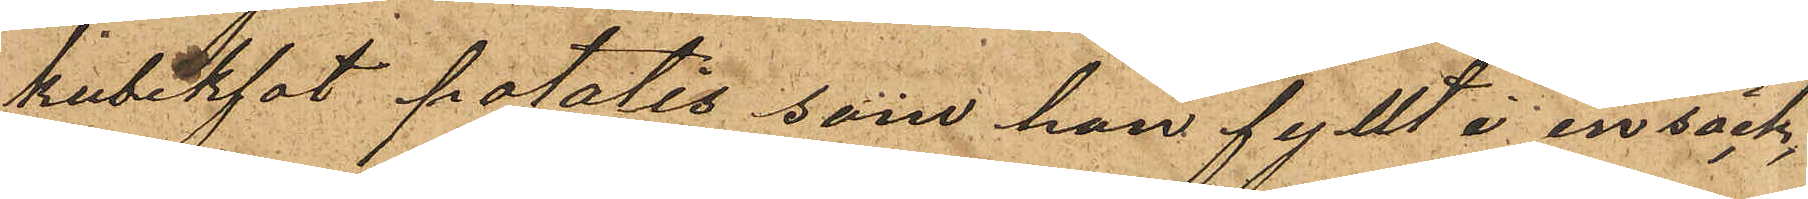kubikfot potatis, som han fyllt i en säck,
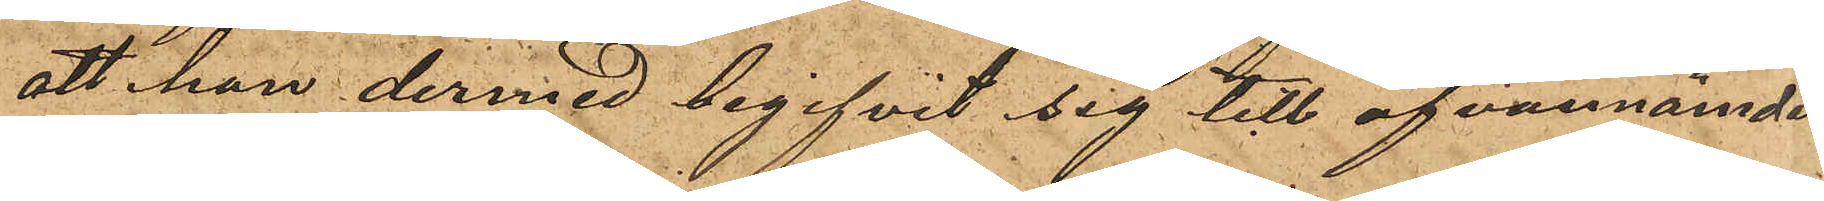att han dermed begifvit sig till ofvannämnde
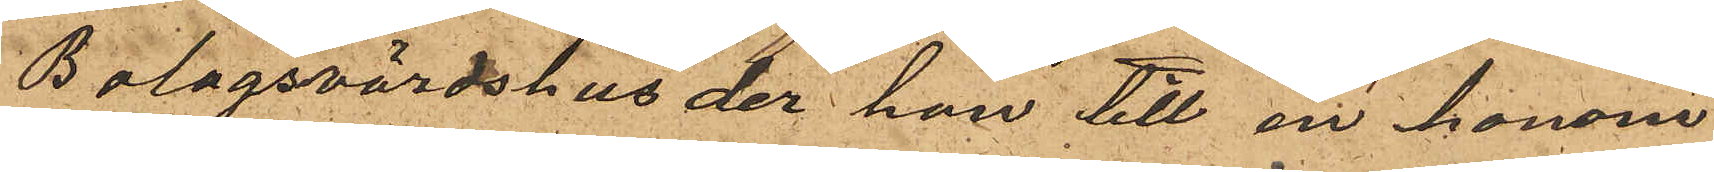Bolagsvärdshus der han till en honom
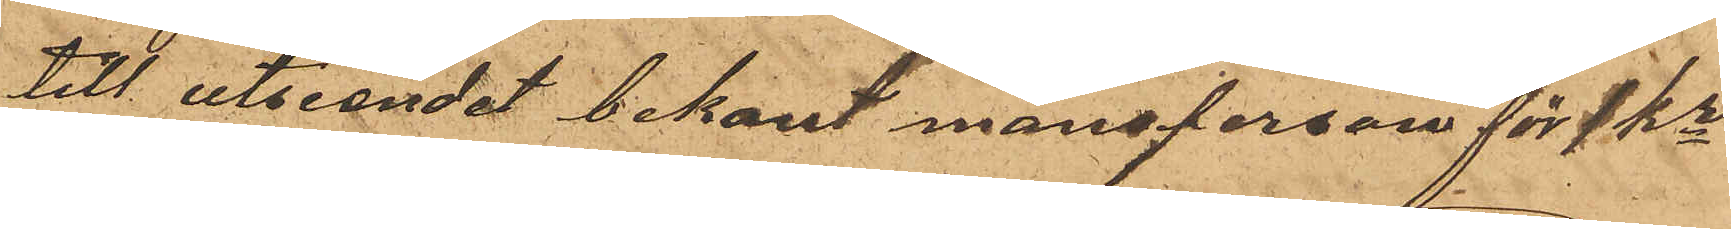till utseendet bekant mansperson för 1 Kr
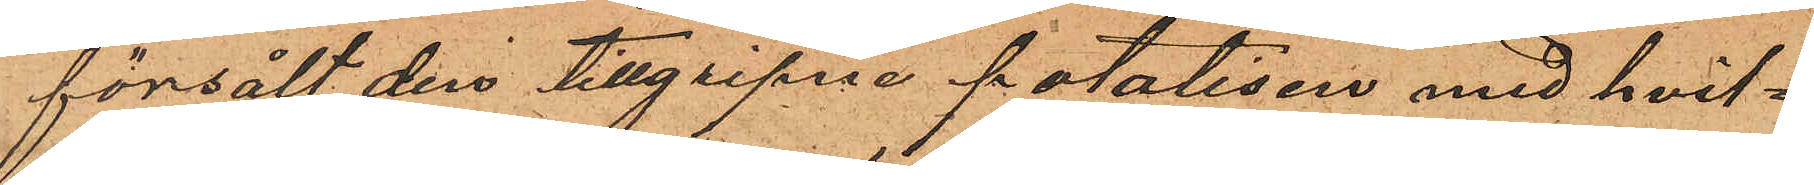försålt den tillgripne potatisen med hvil¬
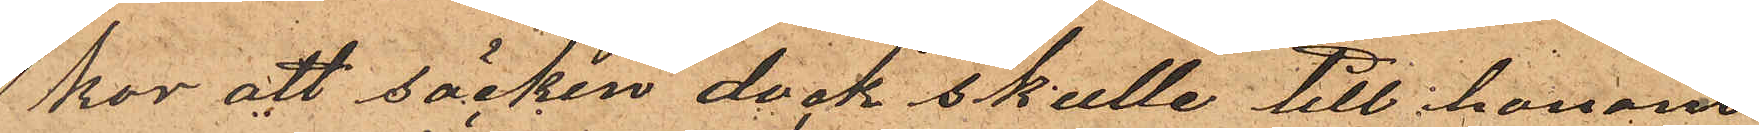kor att säcken dock skulle till honom
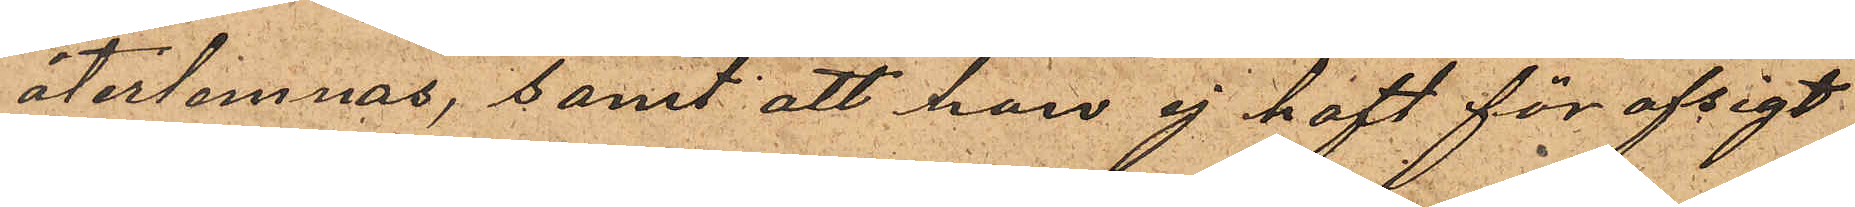återlemnas, samt att han ej haft för afsigt
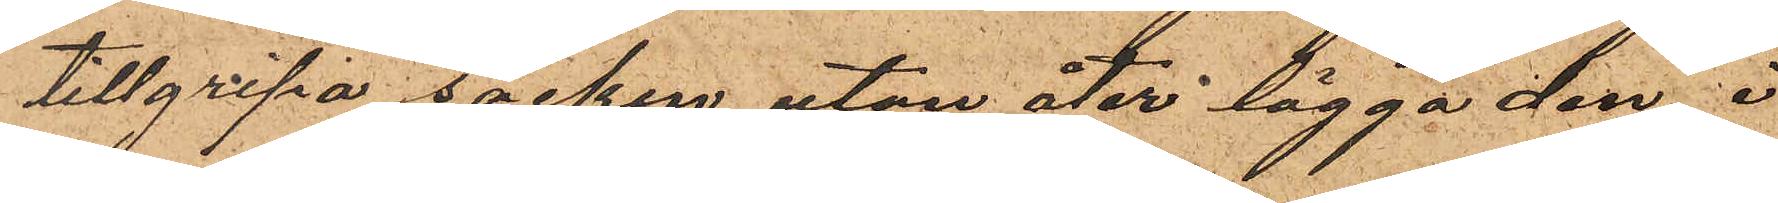tillgripa säcken utan åter lägga den i
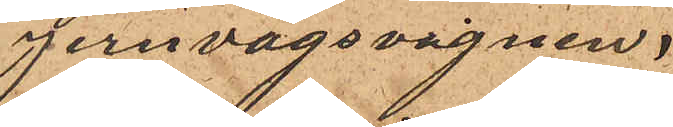jernvägsvagnen.
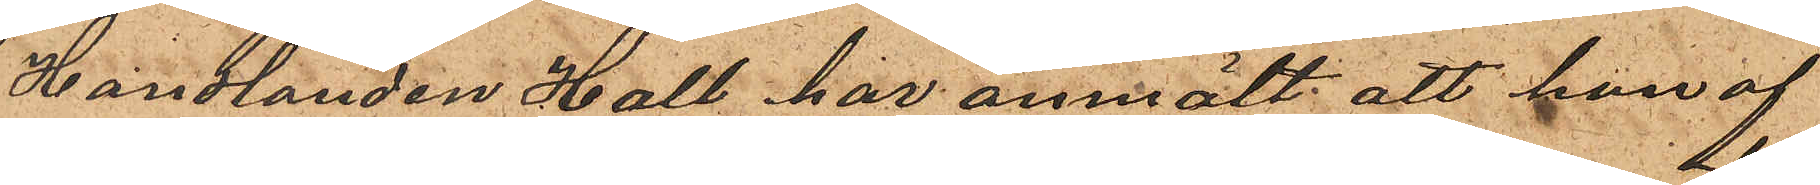Handlanden Hall har anmält att han af
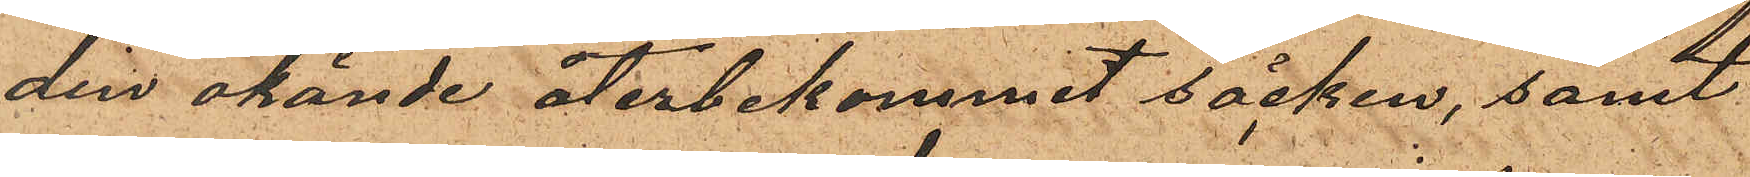den okände återbekommit säcken; samt
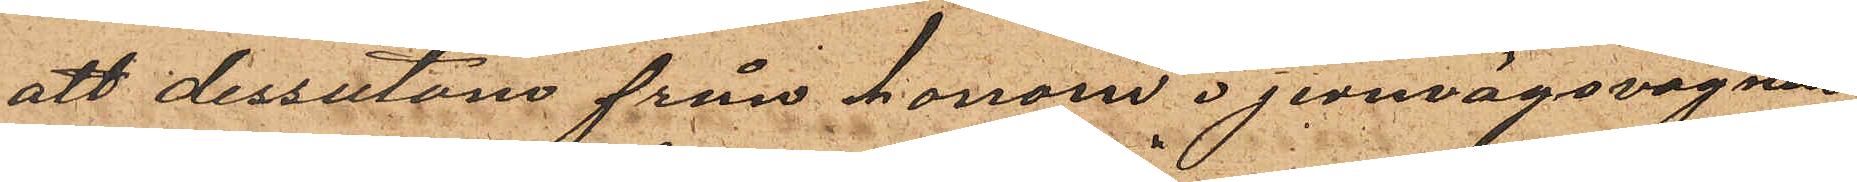att dessutom från honom i jernvägsvagnen
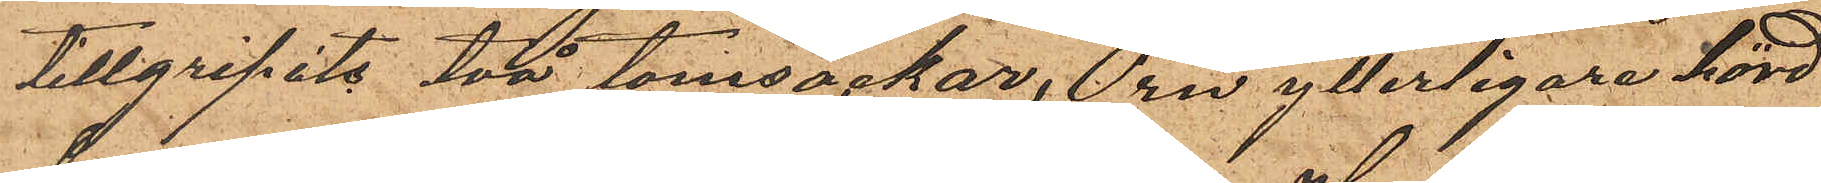tillgripits två tomsäckar, Örn ytterligare hörd
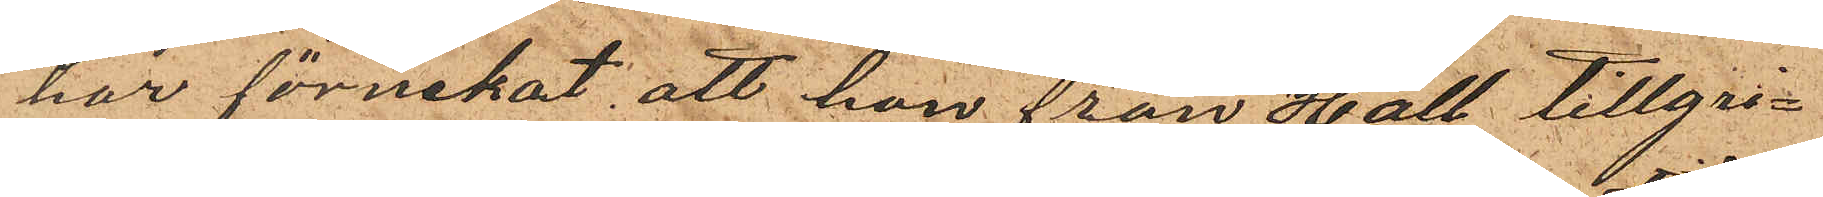har förnekat, att han från Hall tillgri¬
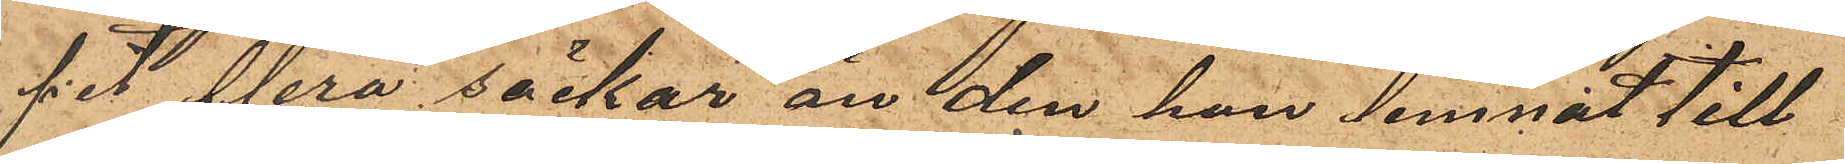git flera säckar än den han lemnat till¬
